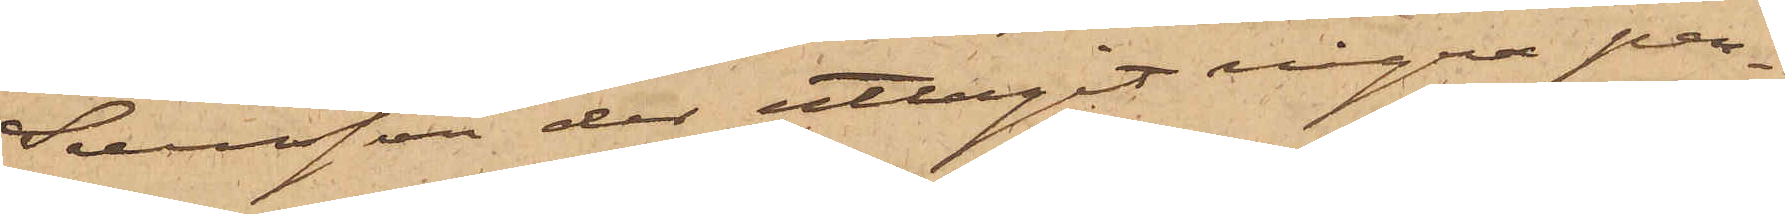Svensson der uttagit några pen¬
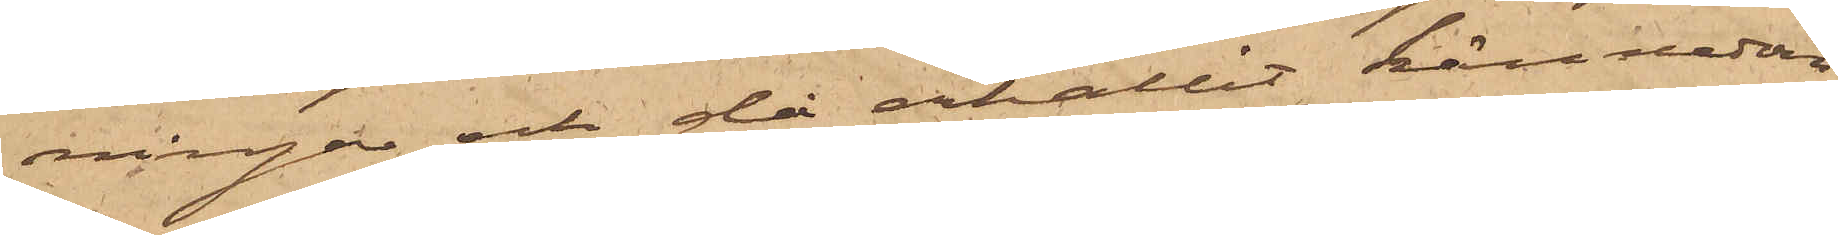ningar och då erhållit kännedom
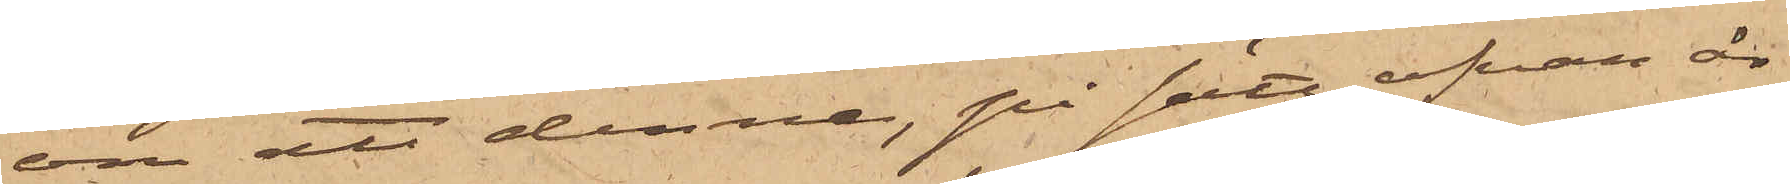om att denne, på sätt ofvan är
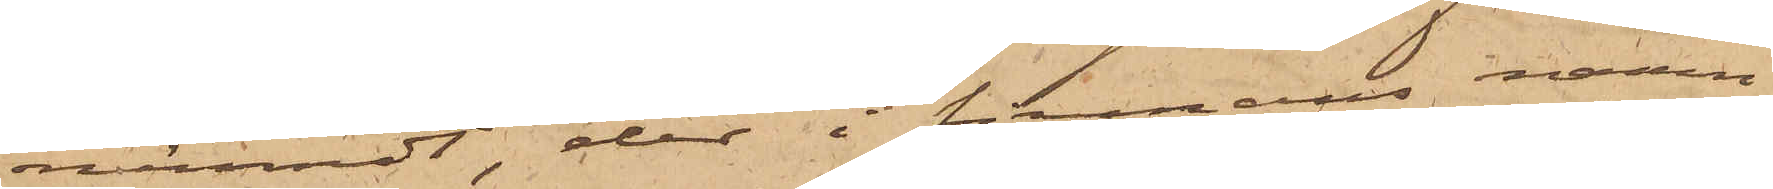nämndt, der i firmans namn
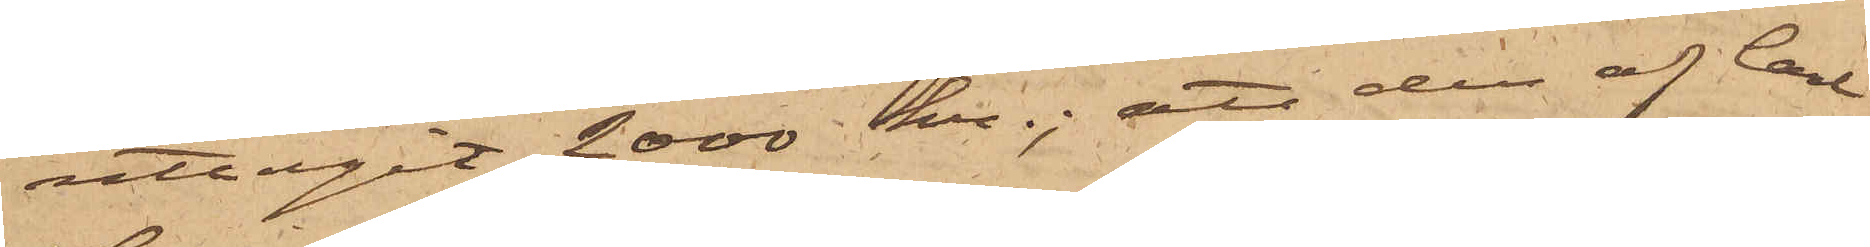uttagit 2000 kr.; att den af Carl
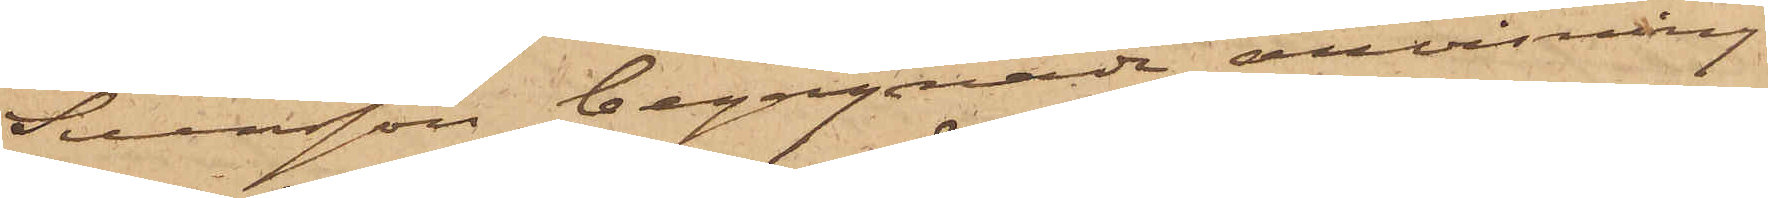Svensson begagnade anvisning
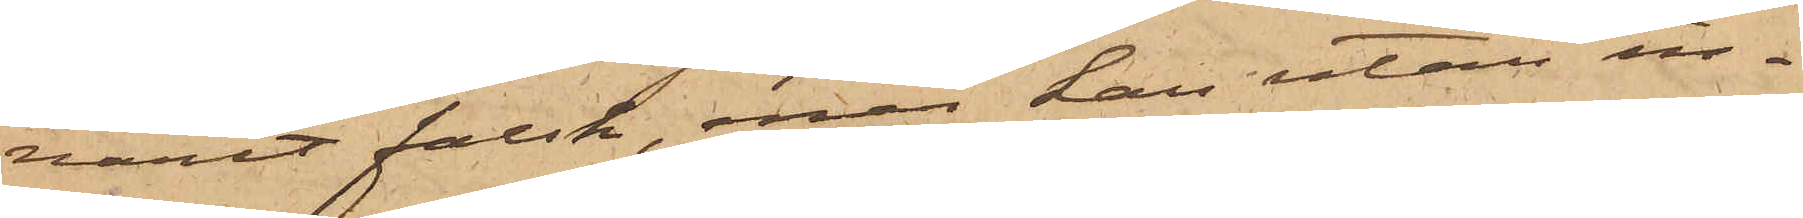varit falsk, enär han utan in¬
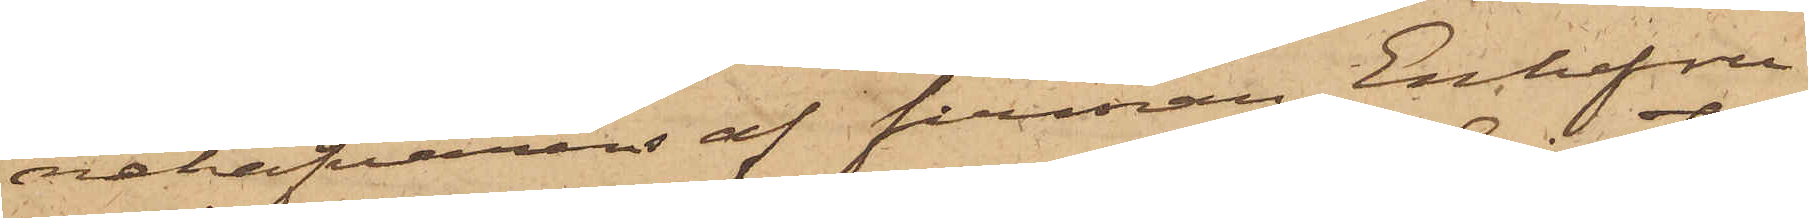nehafvaren af firman Enkefru
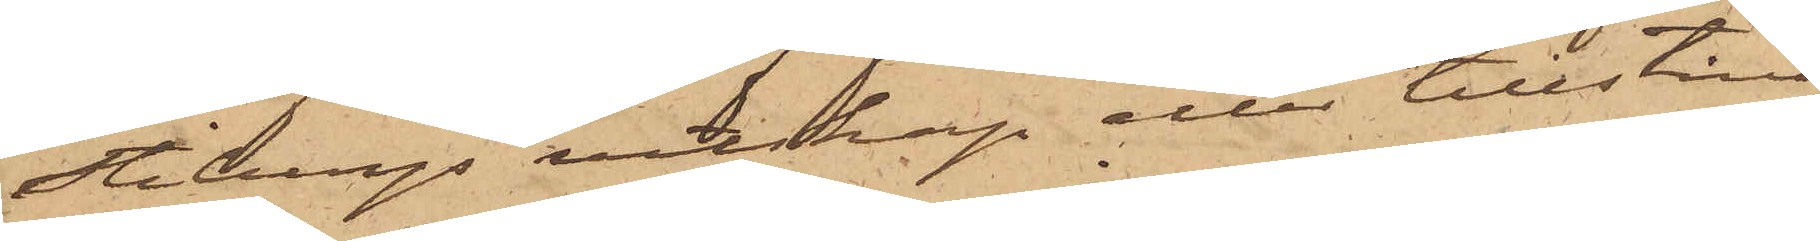Stibergs vetskap eller tillstånd
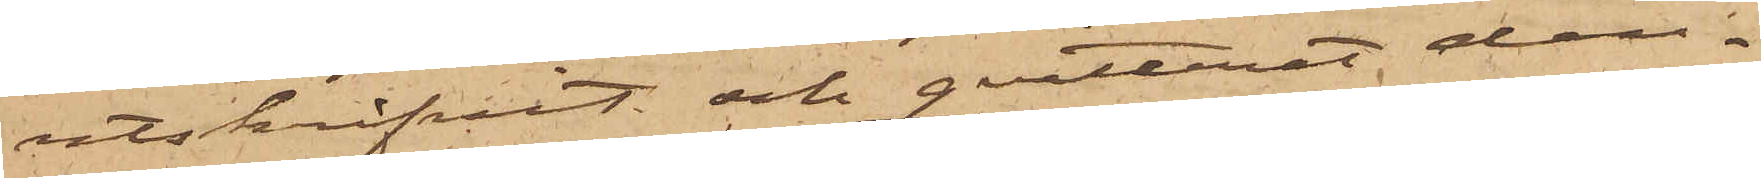utskrifvit och qvitterat den¬
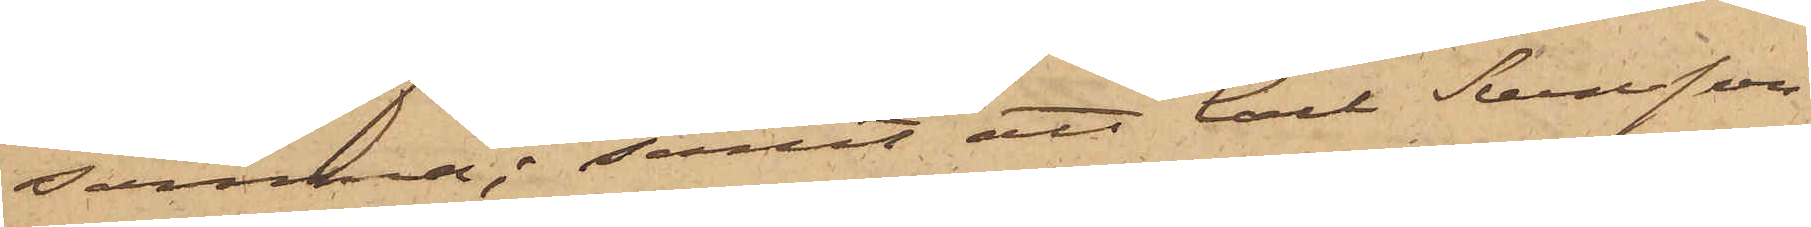samma; samt att Carl Svensson
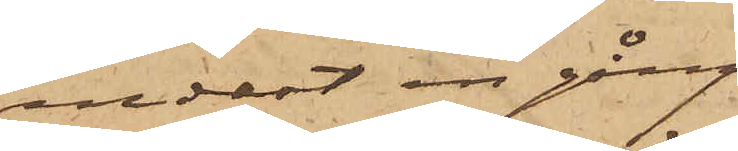endast en gång
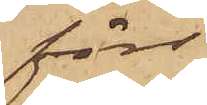förr
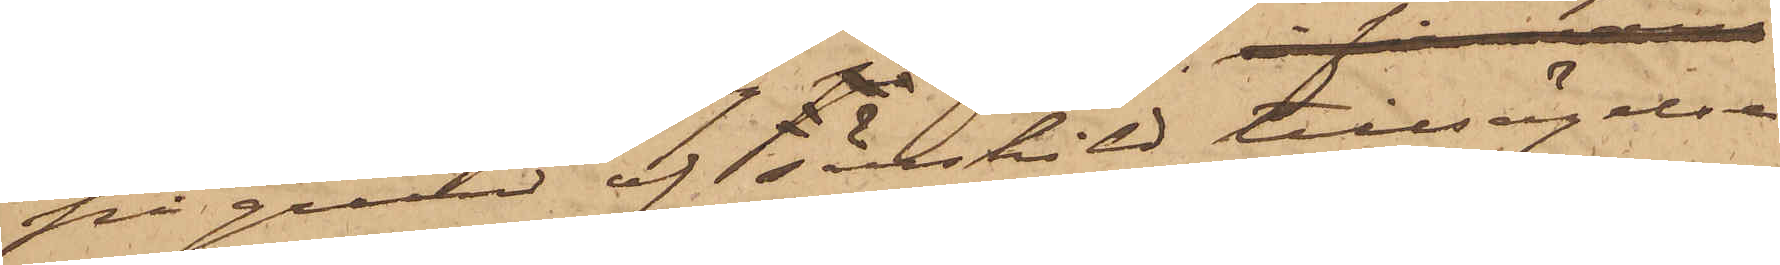på grund af särskild tillsägelse
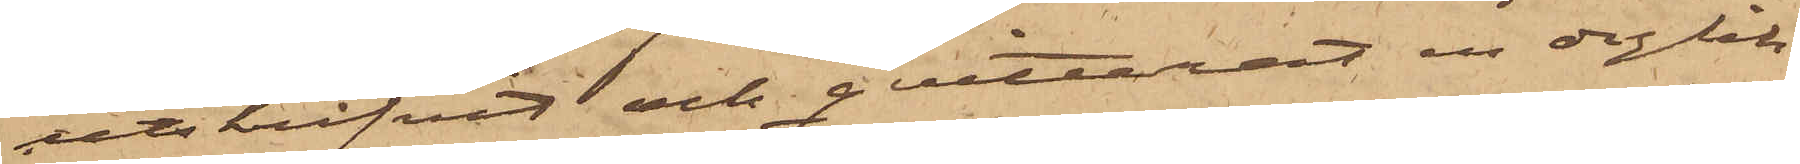utskrifvit och qvitterat en dylik
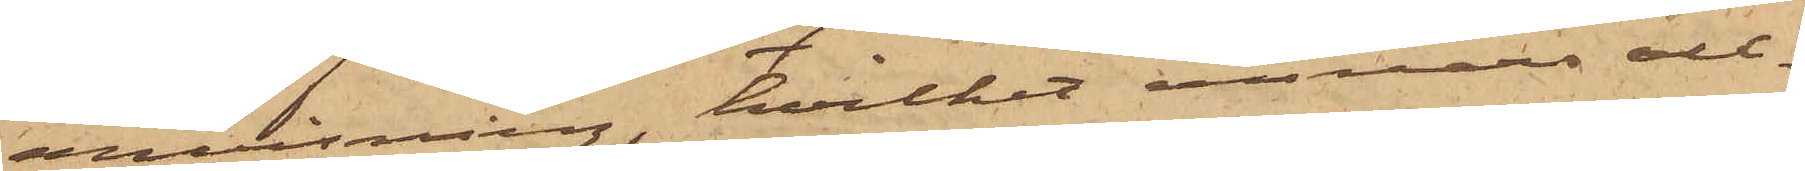anvisning, hvilket annars all¬
